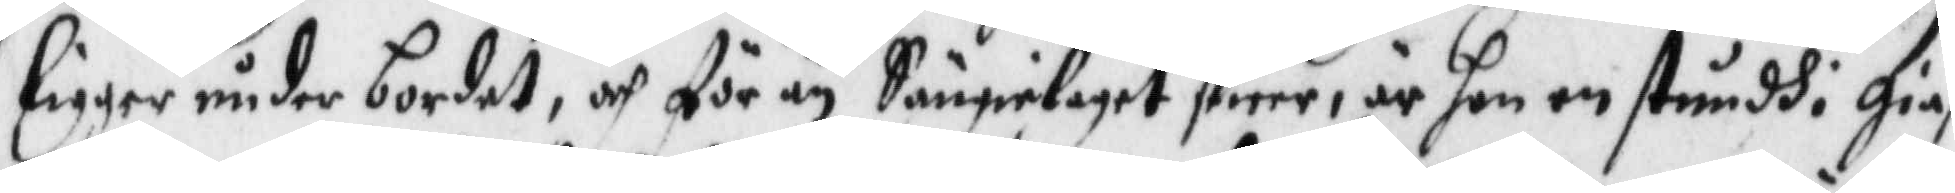ligger under bordet, och för än Sängelaget skier, är hon en styndh i gies¬
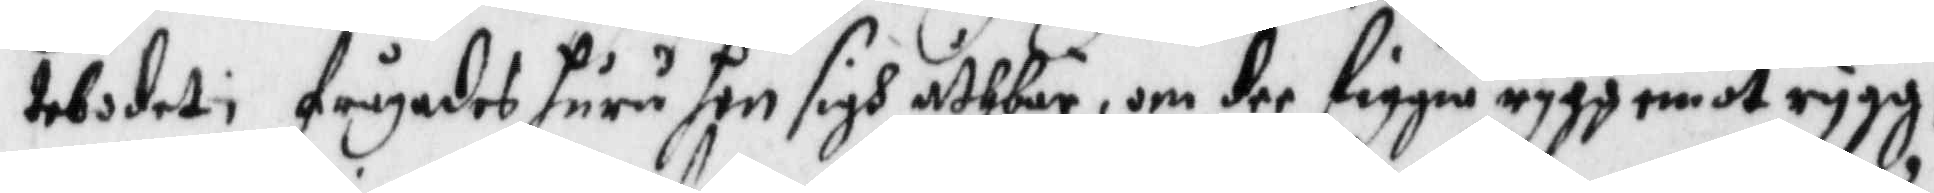tebodet, frågades huru hon sigh uthbär, om dee liggia rygg emot rygg?
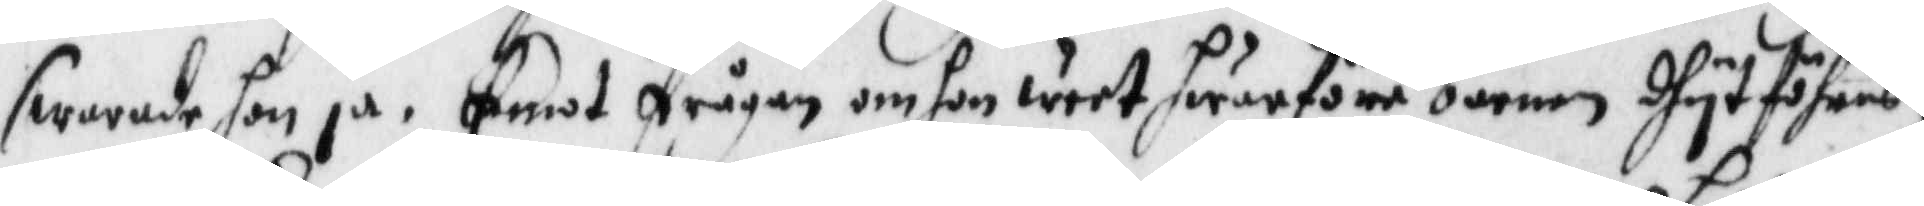swarade hon ja. Emot frågan om hon weet hwarföre barnen dhyt föhras,
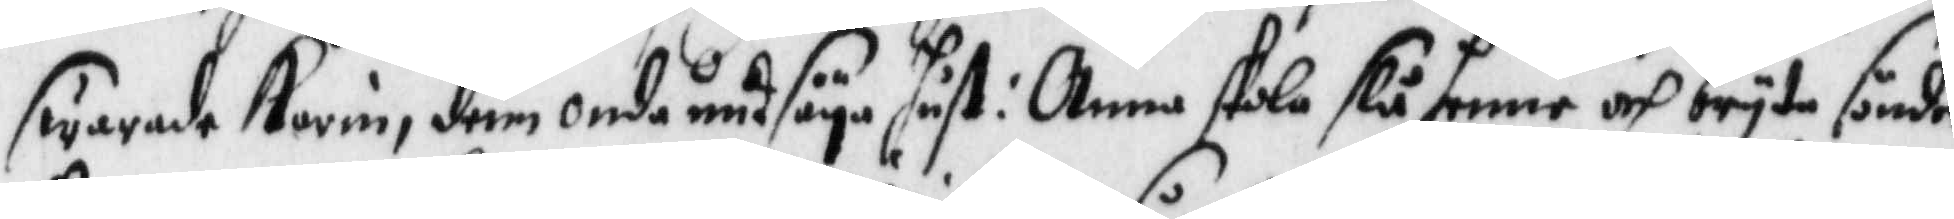swarade Karin, denn onde undsäya hust: Anna skola slå henne och bryta sönder
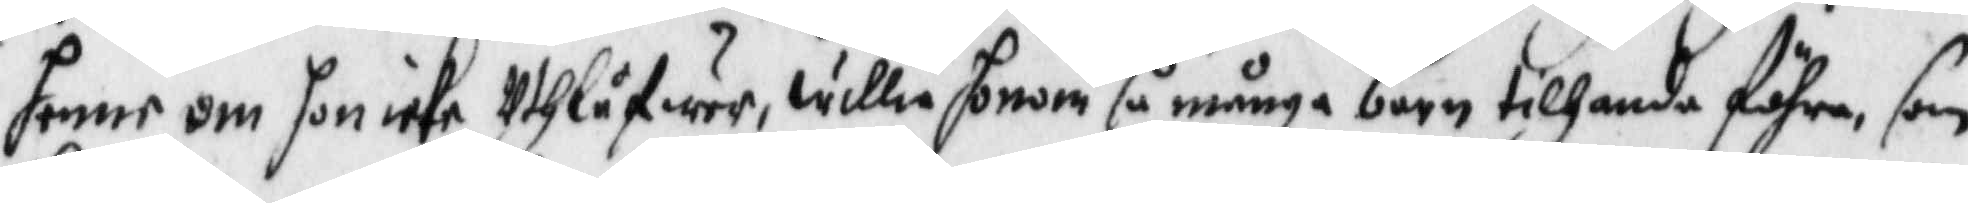henne om hon icke Uthlåfwer, willia honom så många barn tilhanda föhra, som
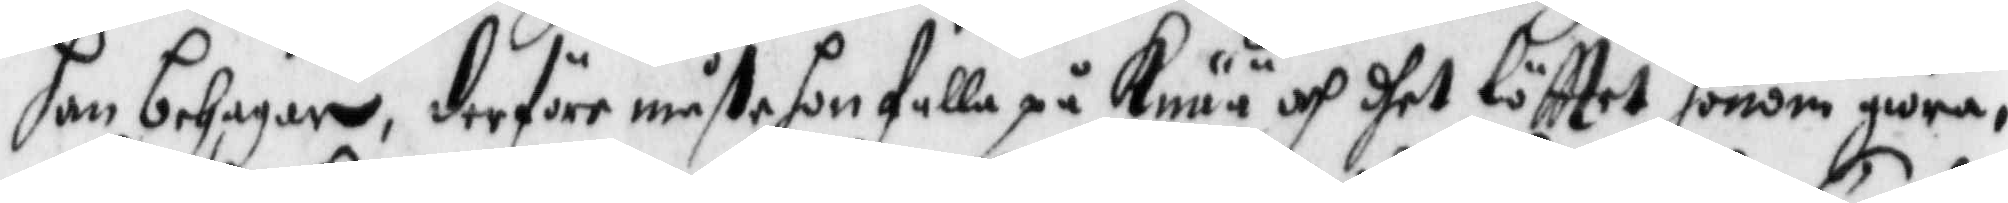han behagar, derföre måstehon falla på Knää och dhet löfttet honom giöra,
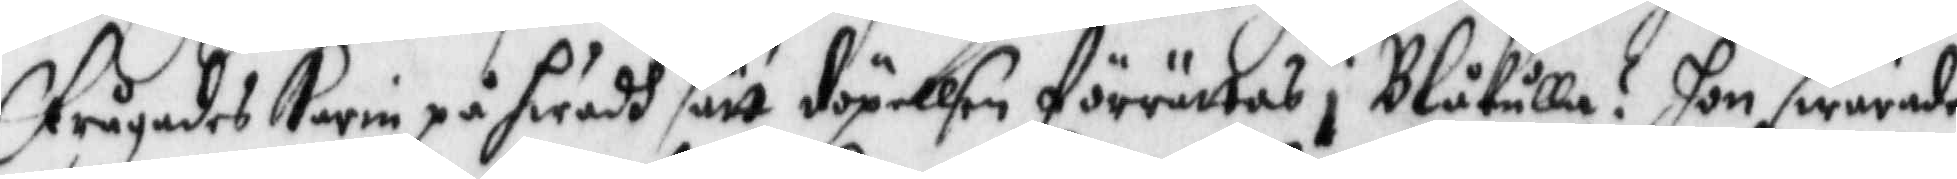frågades Karin på hwadh sätt döpellsen förrättas i Blåkulla? hon swarade
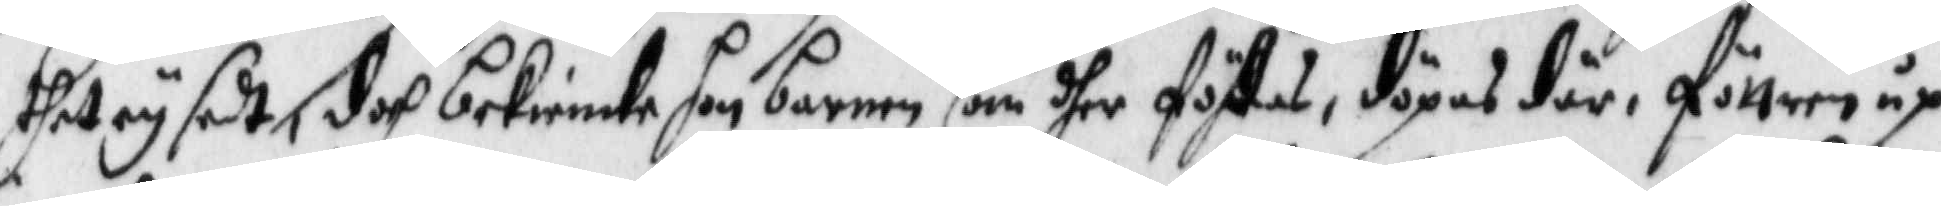dhet et sedt, doch bekiende hon barnen som dher födes, döpas där, föttern op
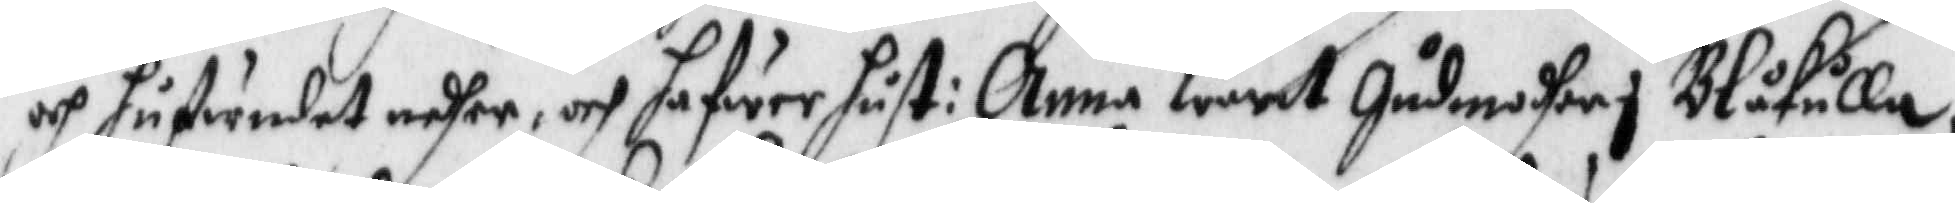och hufwudet nedher, och hafwer hust: Anna warit Gudmodher i Blåkulla.
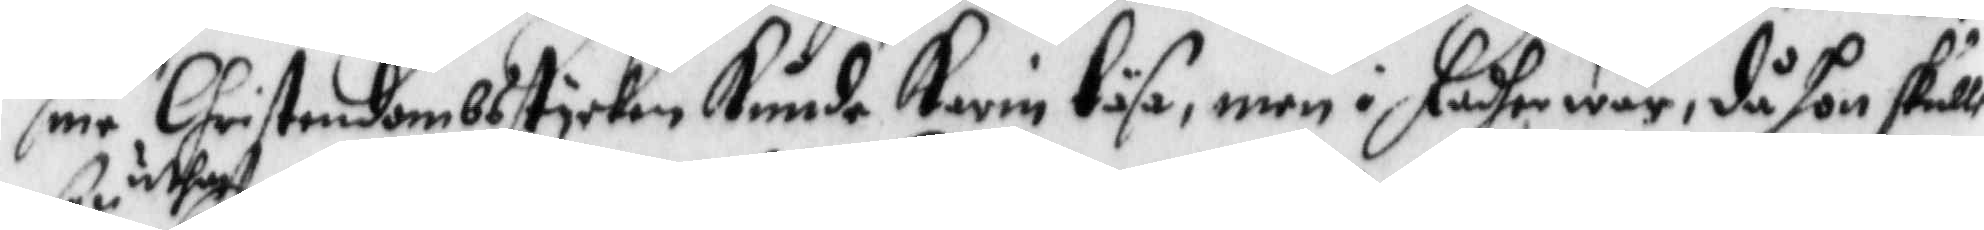sine Christendombs stycken Kunde Karin läsa, men i fadher wår, då hon skulle
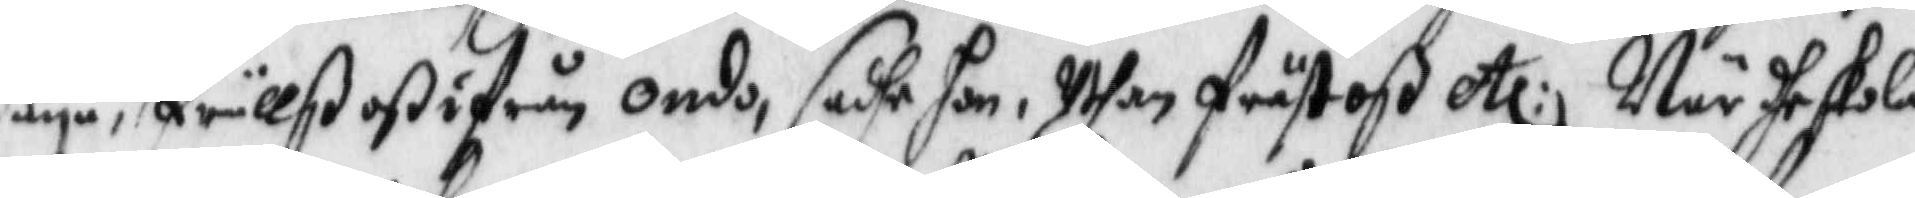säya uthan, frälß oß ifrån ondo, sadhe hon, Uthan fräst oß etc: När dhe skola
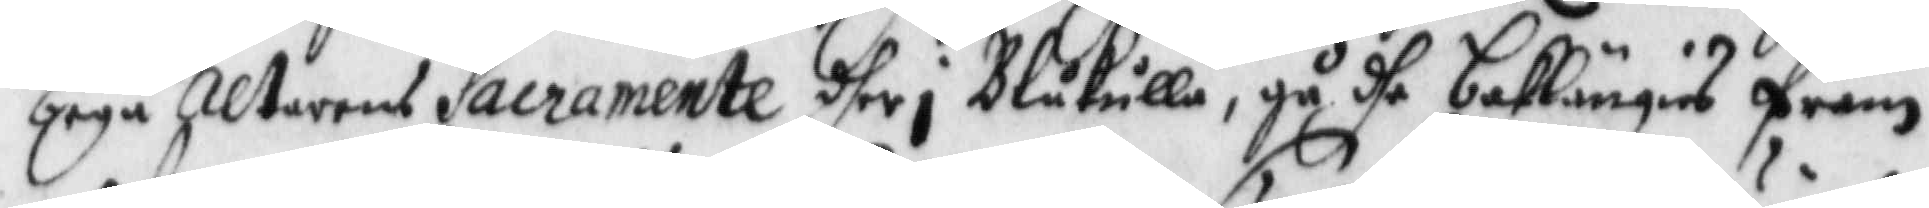begå Altarens Sacramente dher i Blåkulla, gå dhe baklängies fram
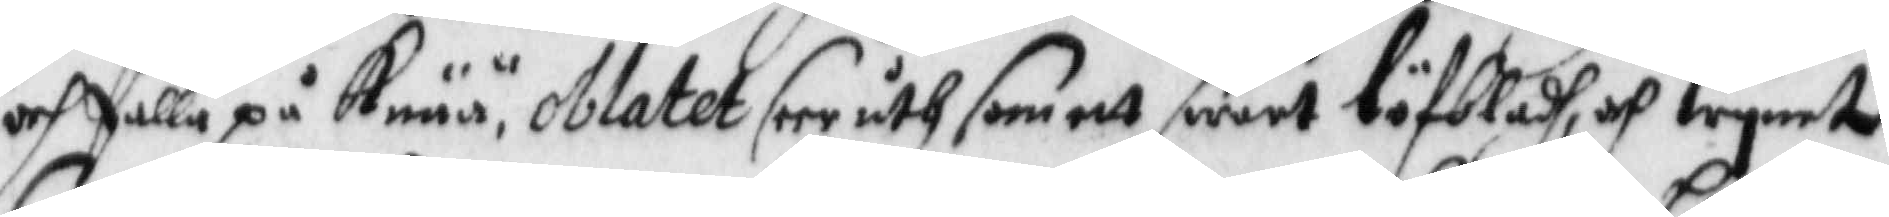och falla på Knää, oblatet seer uth som ett swart löfbladh, och wyinet
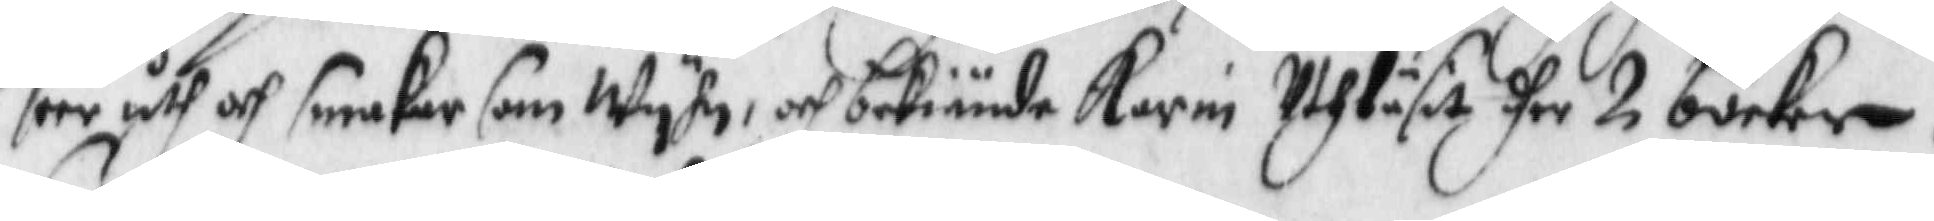seer uth och smakar som Wyhn, och bekiände Karin Uthläsit dher for 2 böcker,
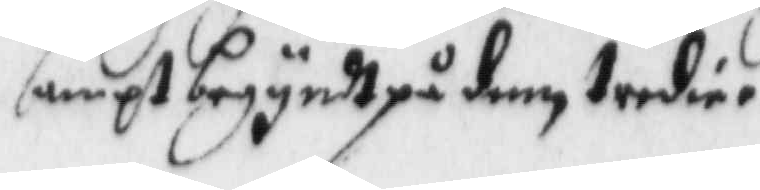sampt begyndt på den tredie.
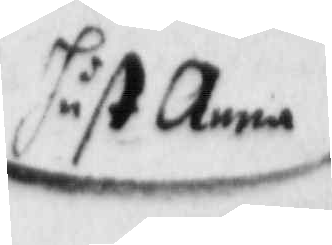hust: Anna
